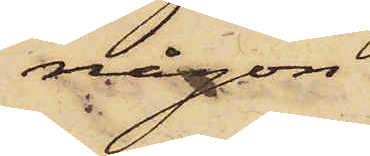någon
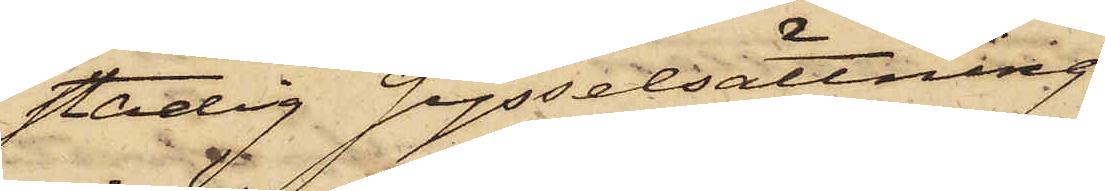stadig sysselsättning
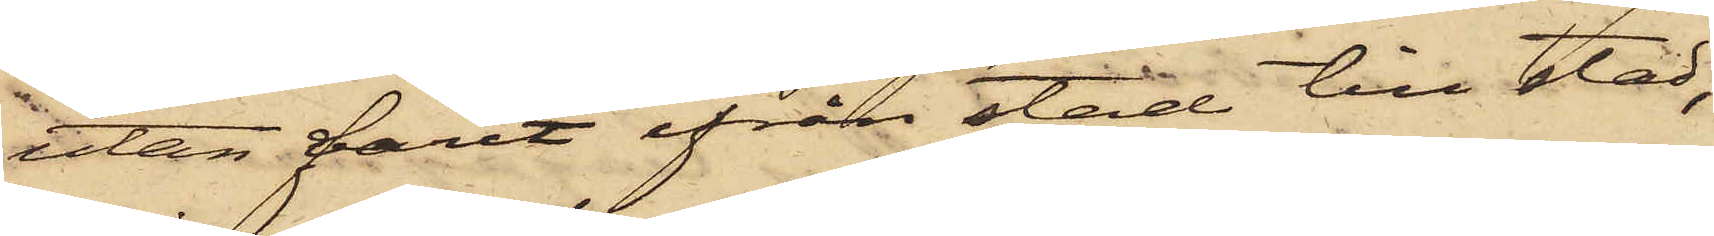utan farit ifrån stad till stad,
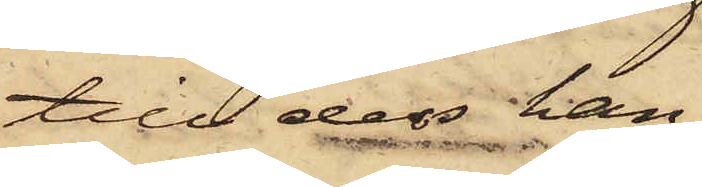till dess han
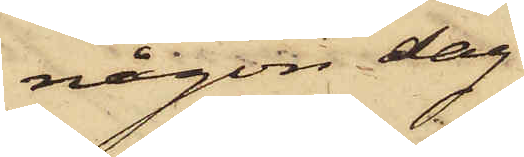någon dag
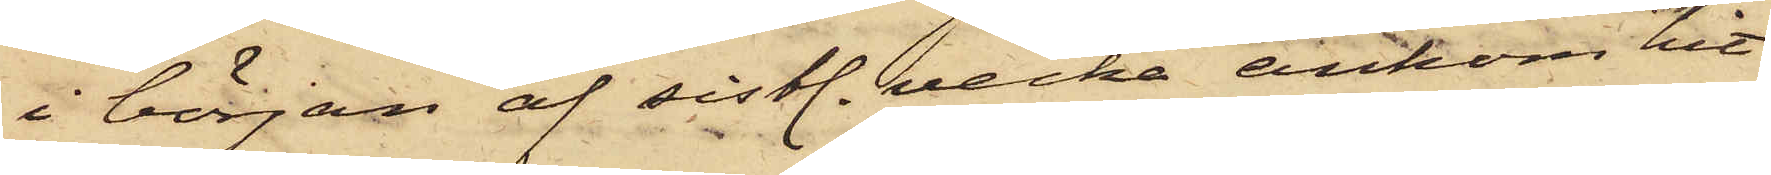i början af sistl. vecka ankom hit
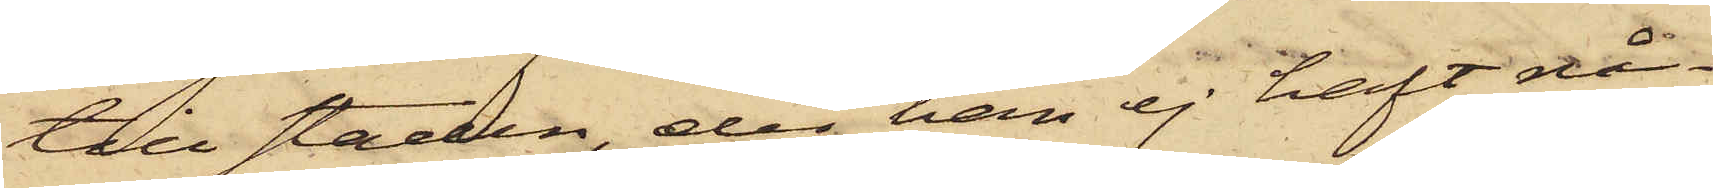till staden, der han ej haft nå¬
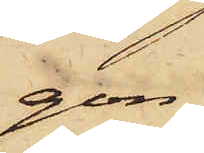gon
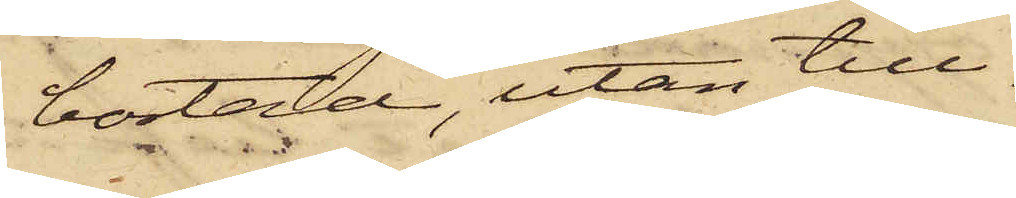bostad, utan till¬
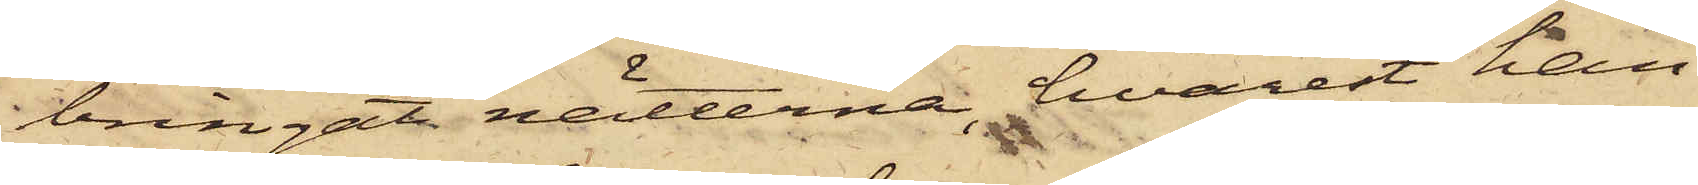bringat nätterna, hvarest han
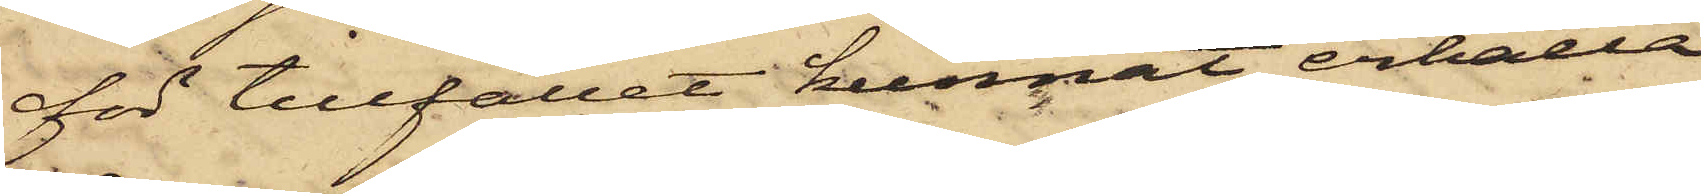för tillfället kunnat erhålla
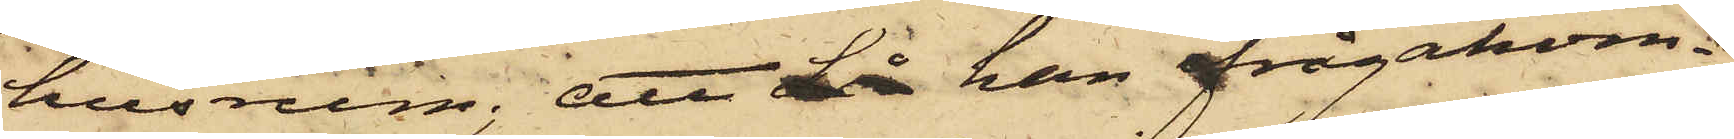husrum; att då han frågakom¬
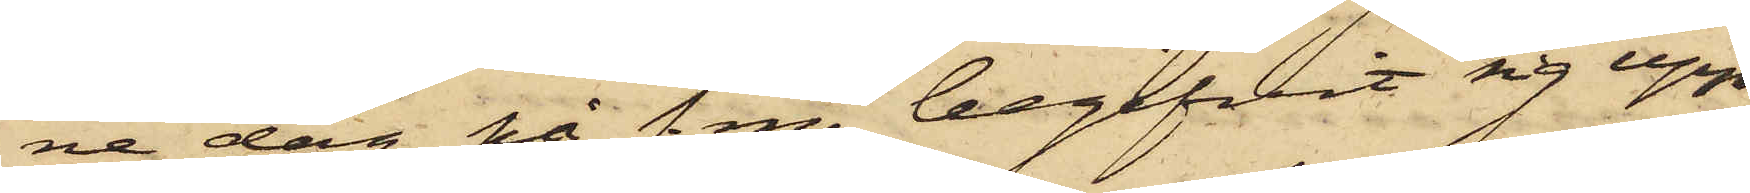ne dag på f.m. begifvit sig upp
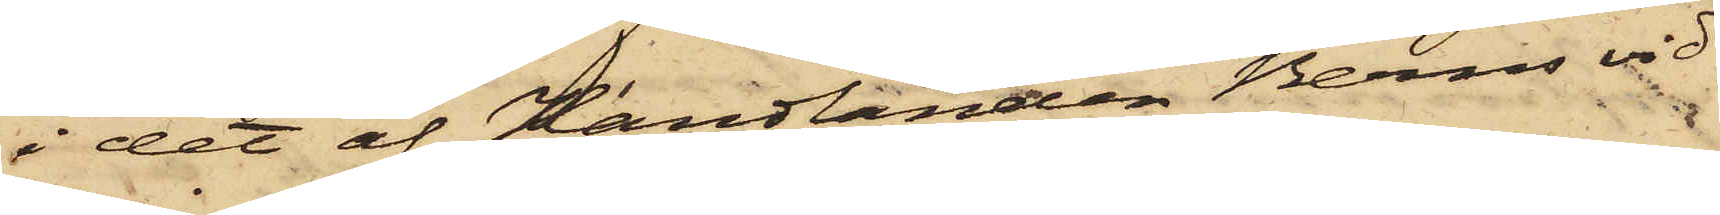i det af Handlanden Berns vid
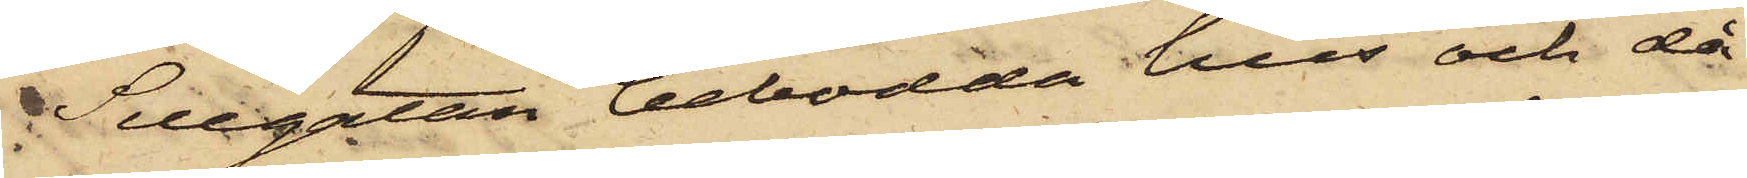Sillgatan bebodda hus och då
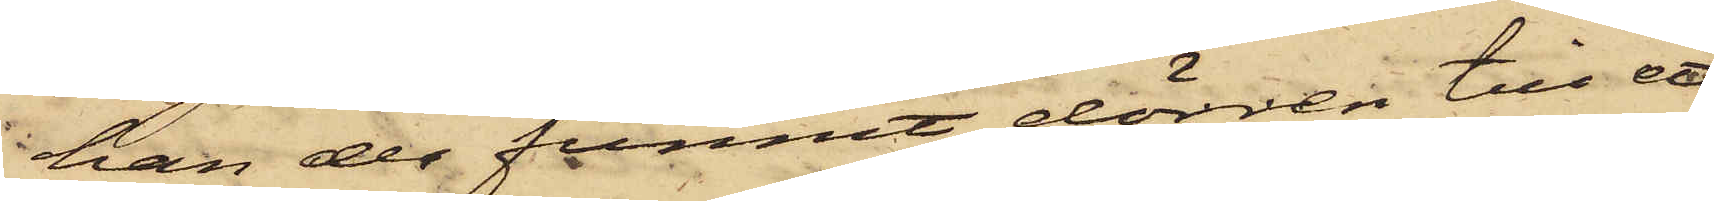han der funnit dörren till ett
